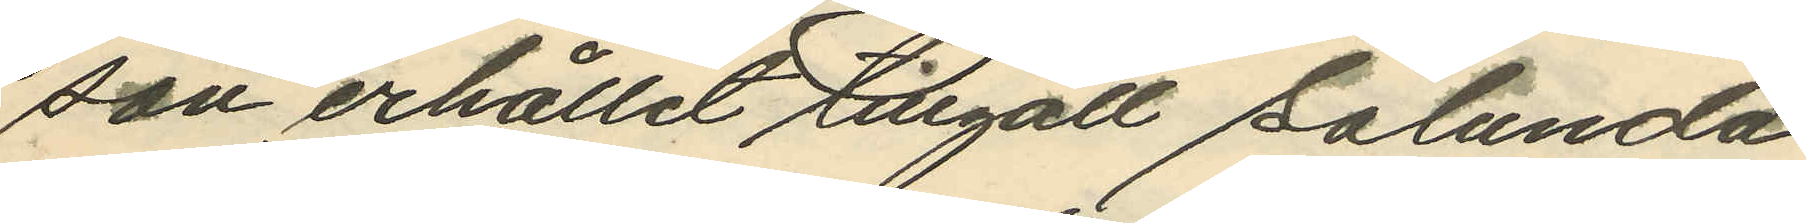son erhållit tillgått sålunda
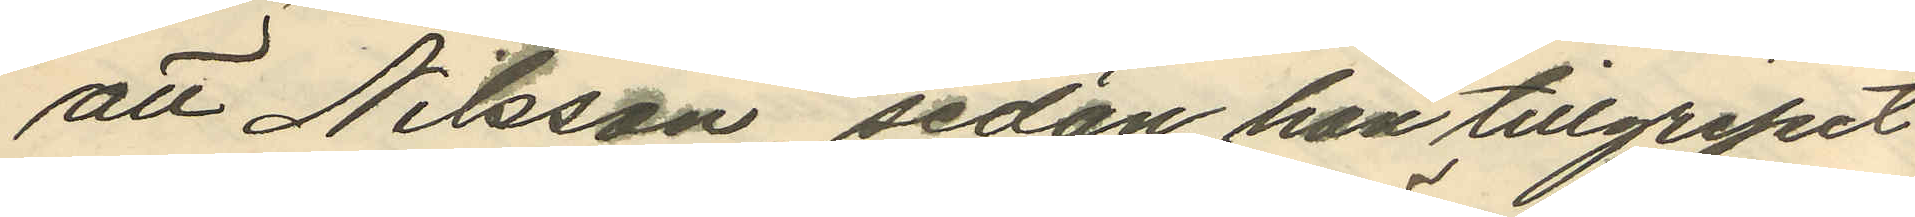att Nilsson, sedan han tillgripit
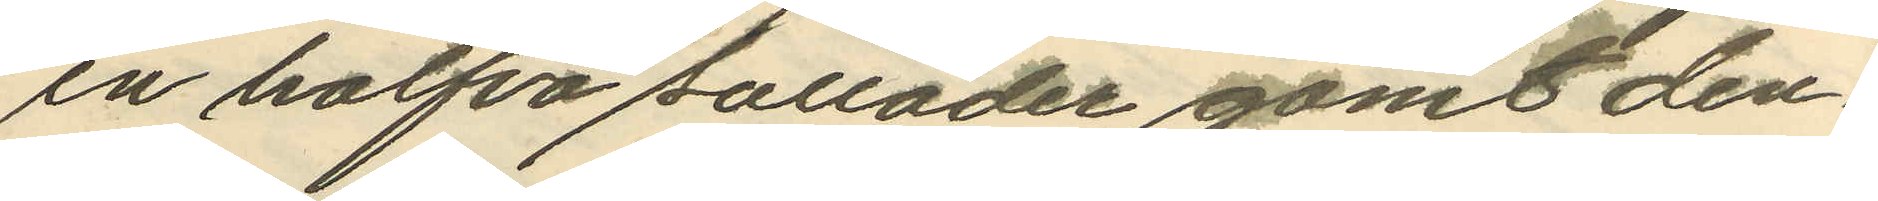en halfva sulläder gömt den¬
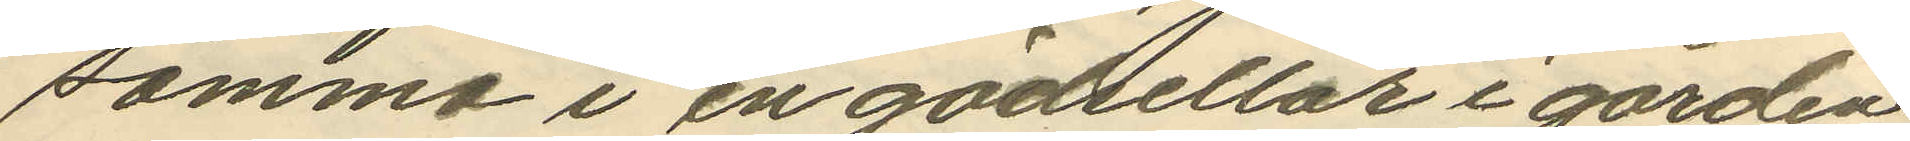samma i en gödsellår i gården
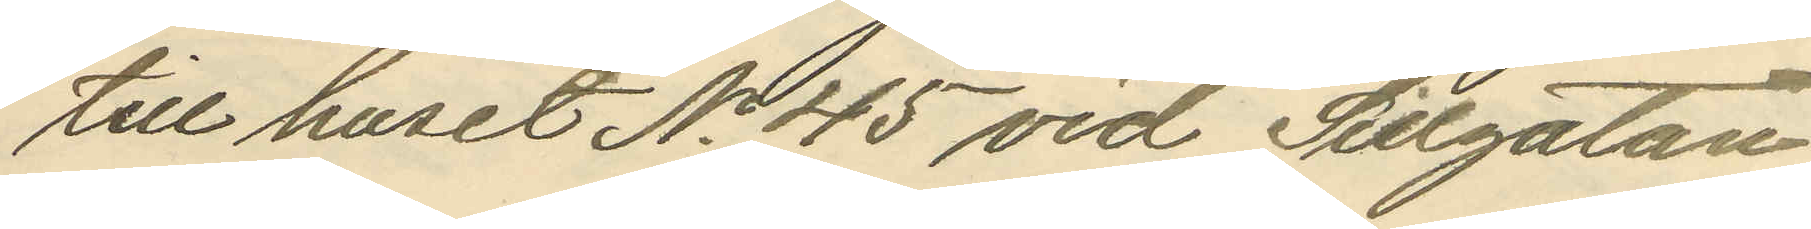till huset No 45 vid Sillgatan
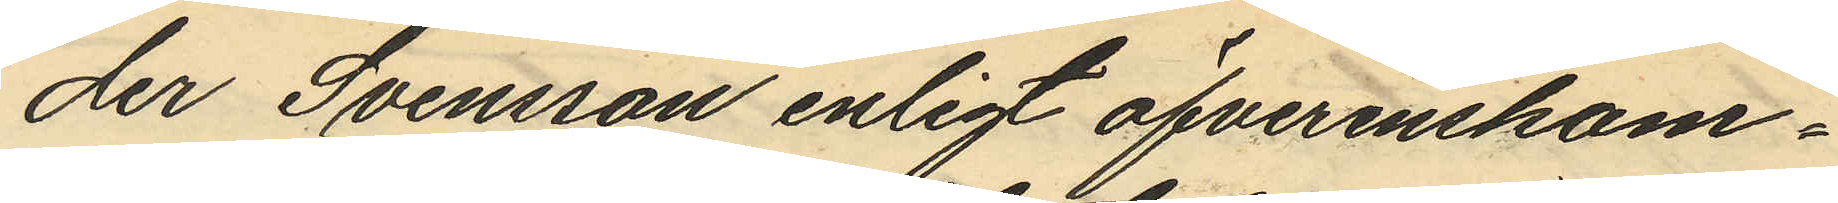der Svensson enligt öfverenskom¬
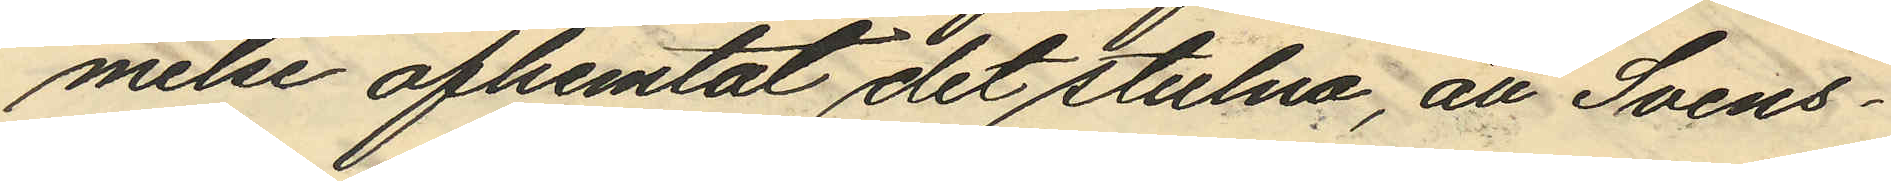melse afhemtat det stulna, att Svens¬
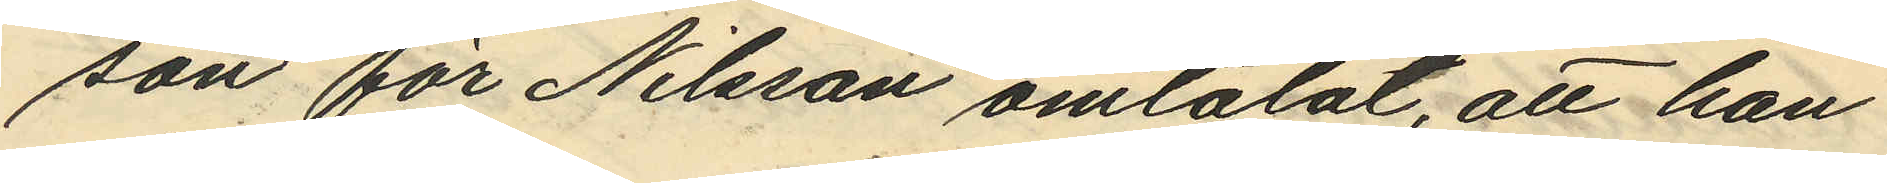son för Nilsson omtalat, att han
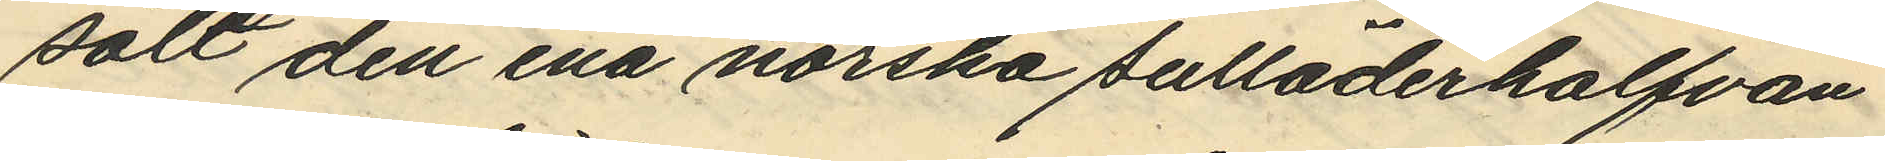sålt den ena norska sulläderhalfvan
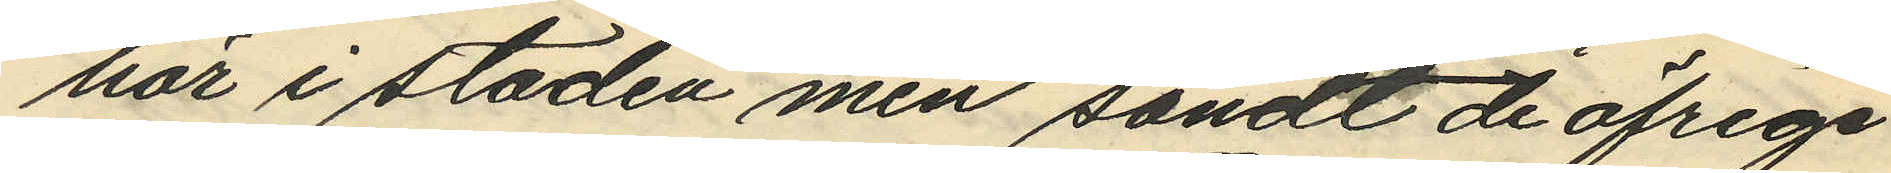här i staden men sändt de öfrige
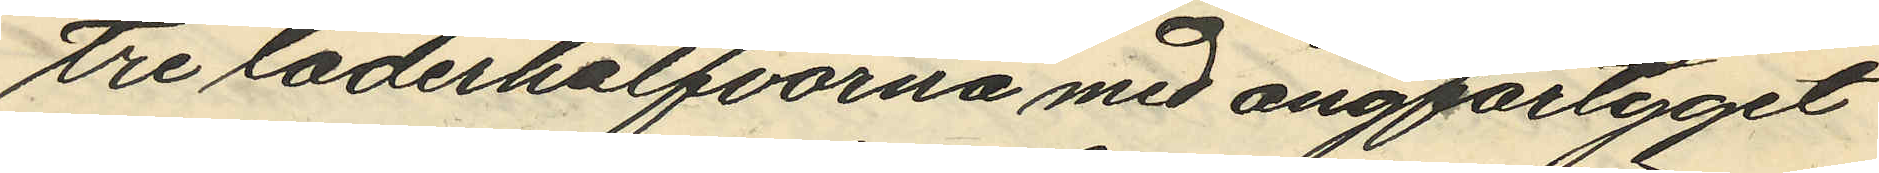tre läderhalfvorna med ångfartyget
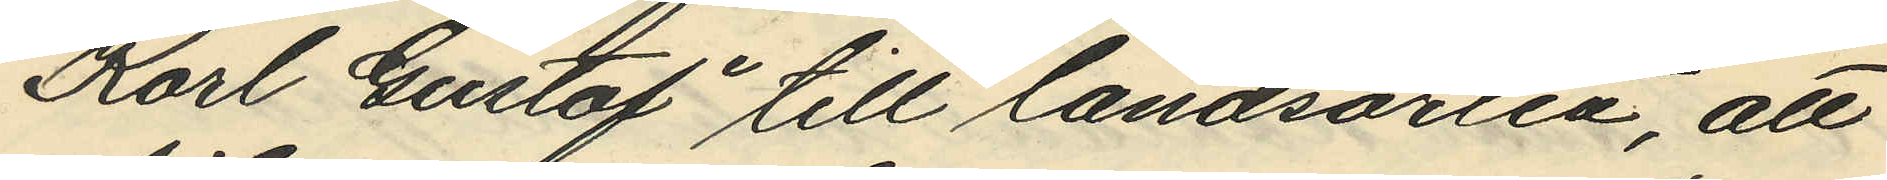"Karl Gustaf" till landsorten, att
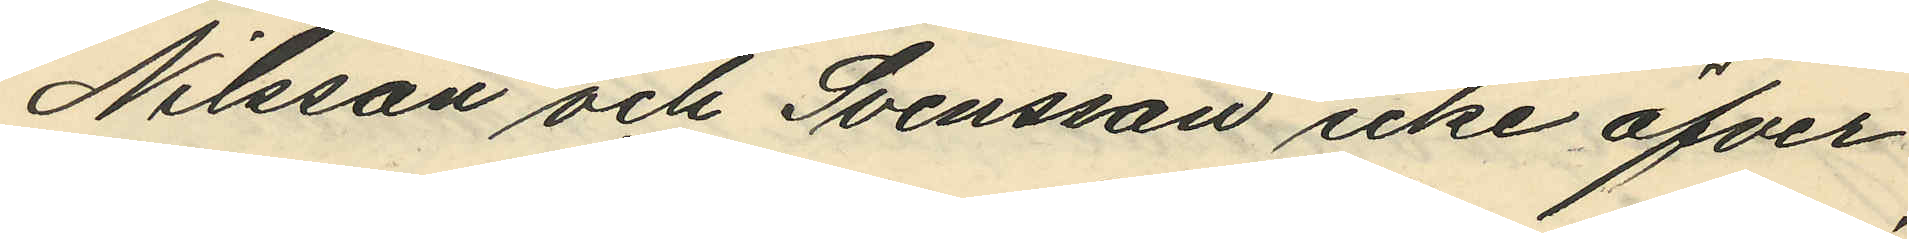Nilsson och Svensson icke öfver¬
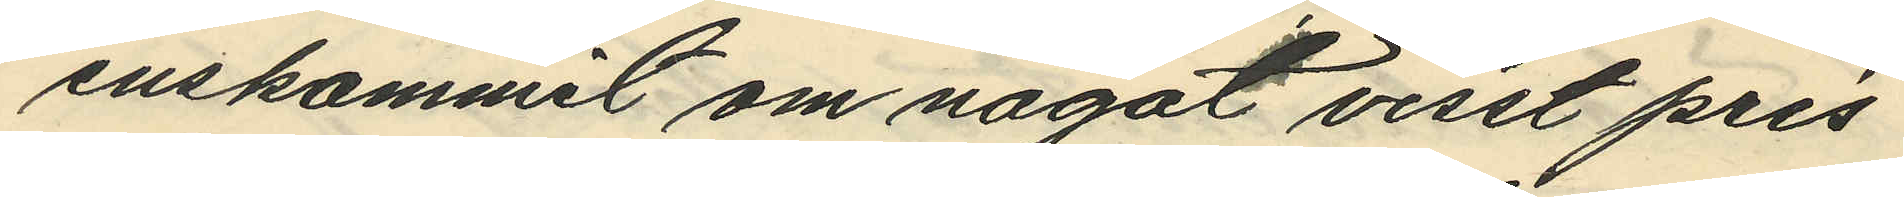enskommit om något visst pris
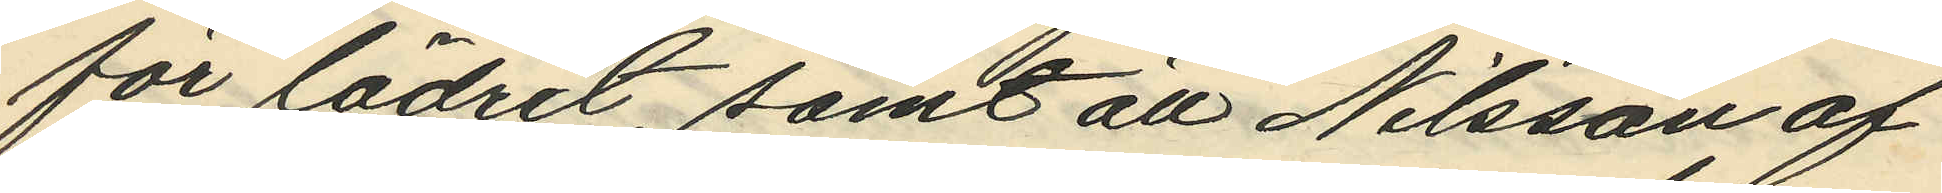för lädret, samt att Nilsson af
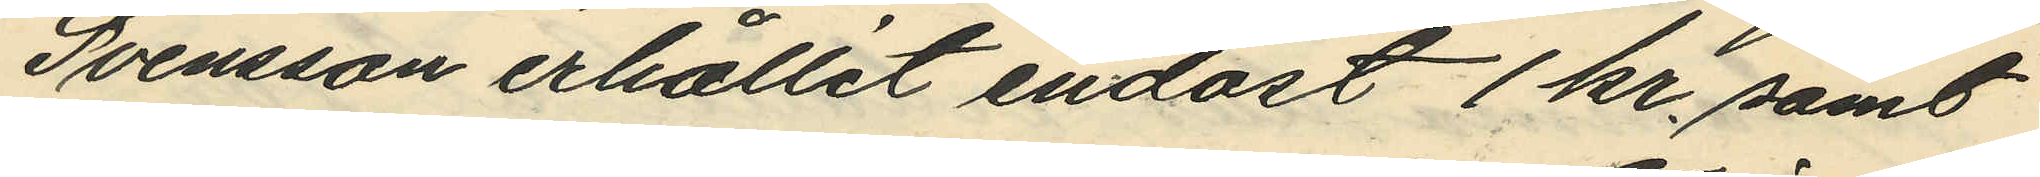Svensson erhållit endast 1 kr samt
